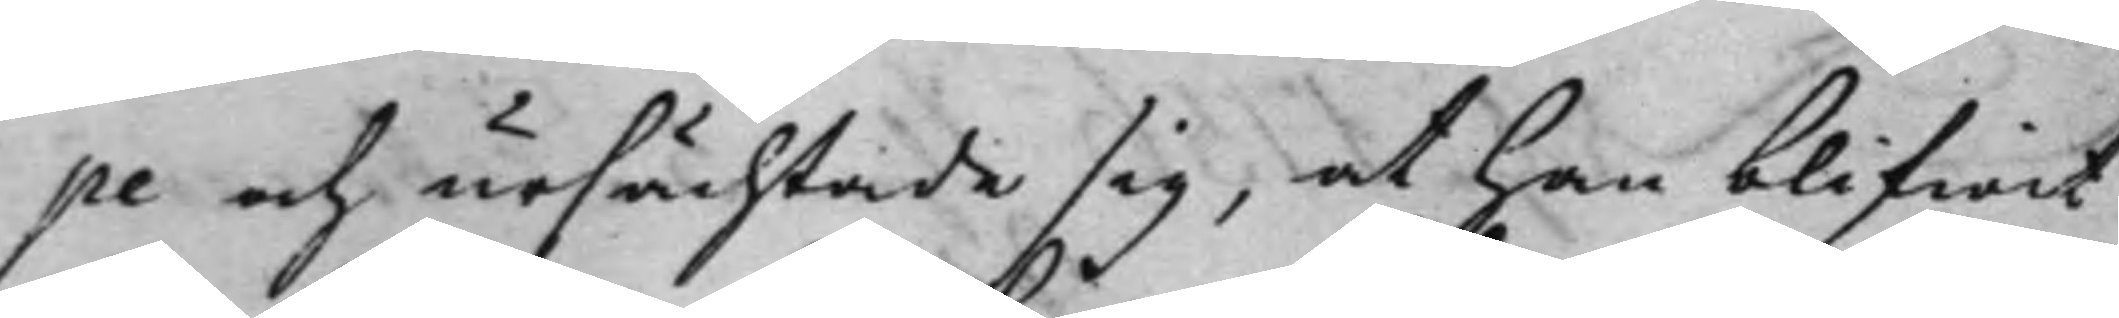pe och ursächtade sig, at han blifwit
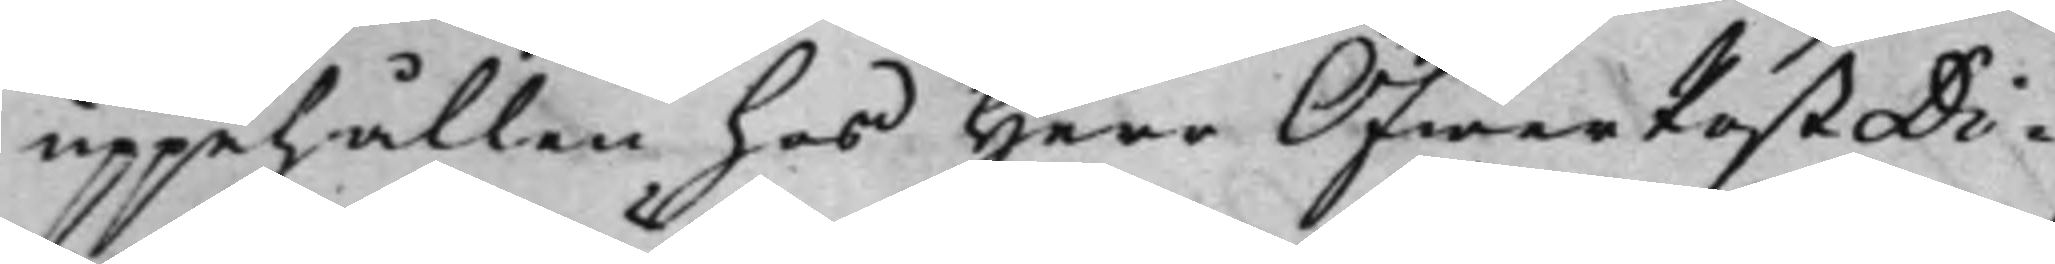uppehållen hos Herr ÖfwerPostDi¬
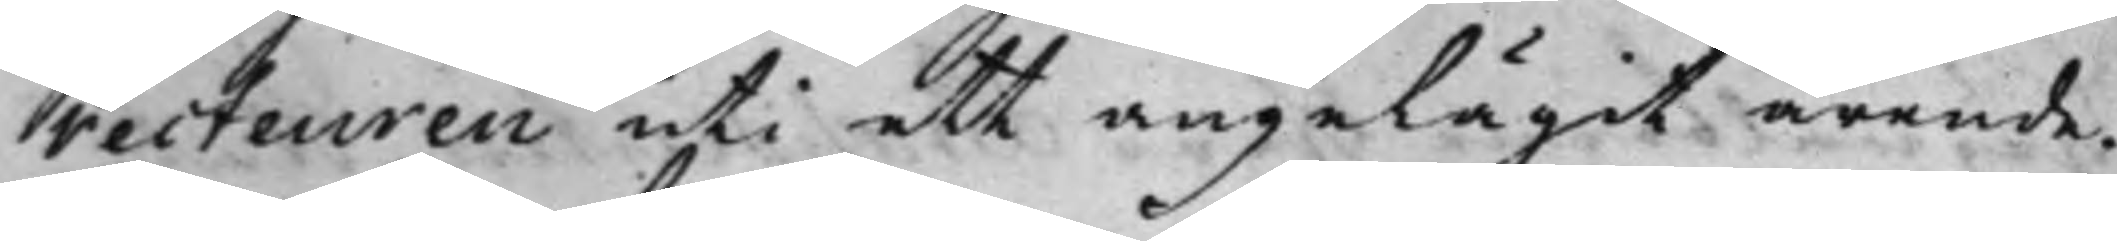recteuren uti ett angelägit ärende.
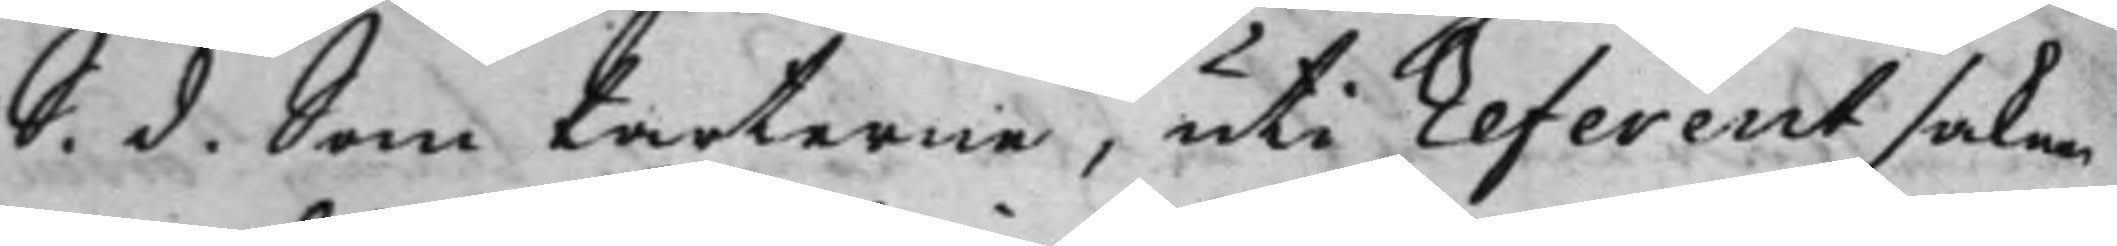S. d. Som Parterne, uti Referent saken
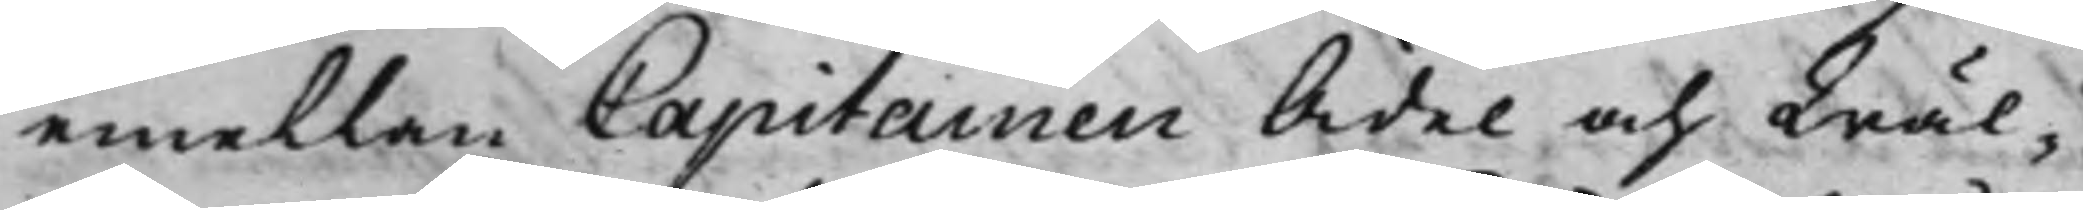emellan Capitainen Ädel och Wäl¬
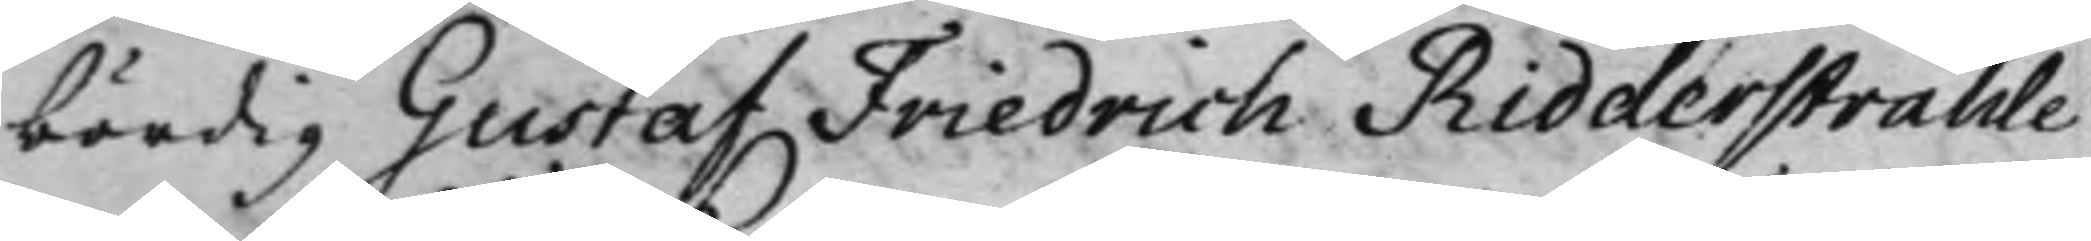bördig Gustaf Friedrich Ridderstråhle
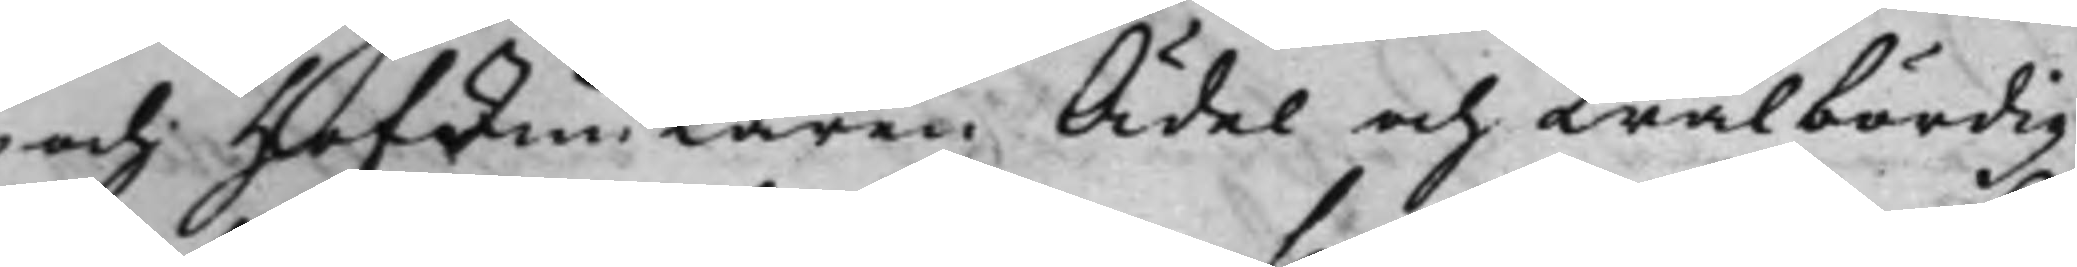och HofJunkaren Ädel och Wälbördig
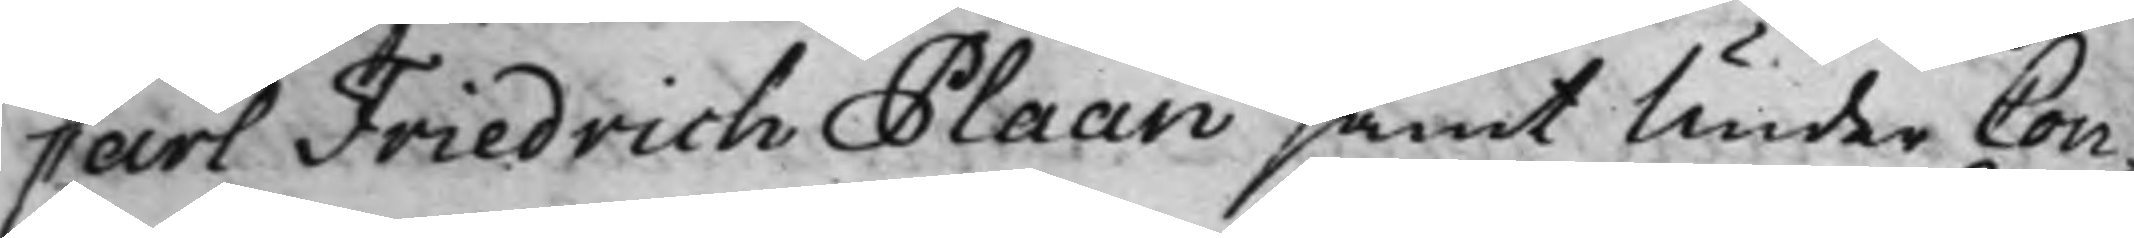Carl Friedrich Plaan samt Under Con¬
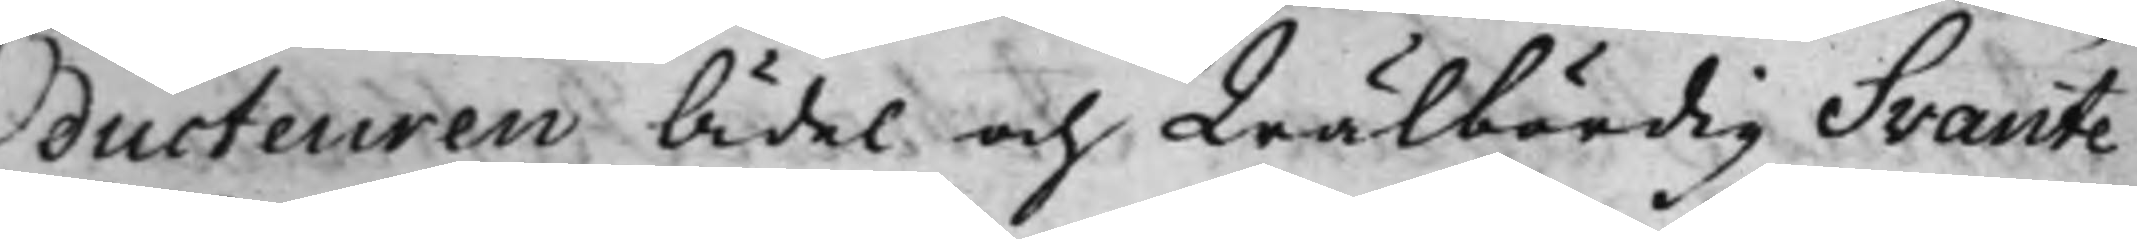ducteuren Ädel och Wälbördig Svante
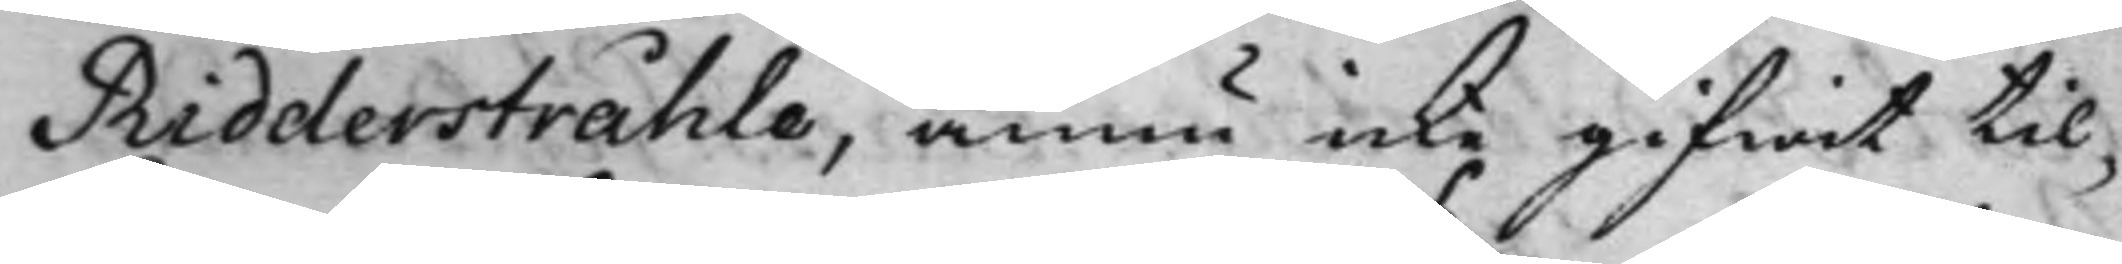Ridderstråhle, ännu icke gifwit til¬
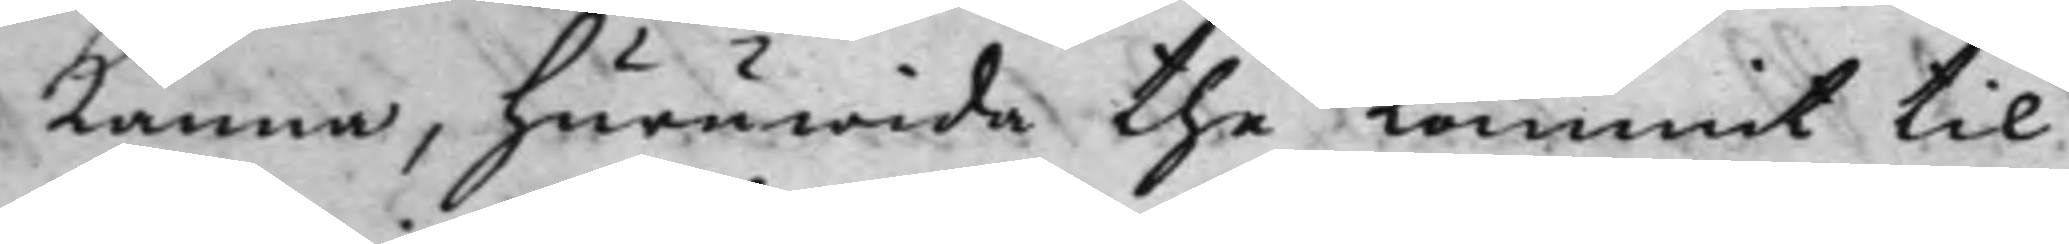känna, huruwida the kommit til
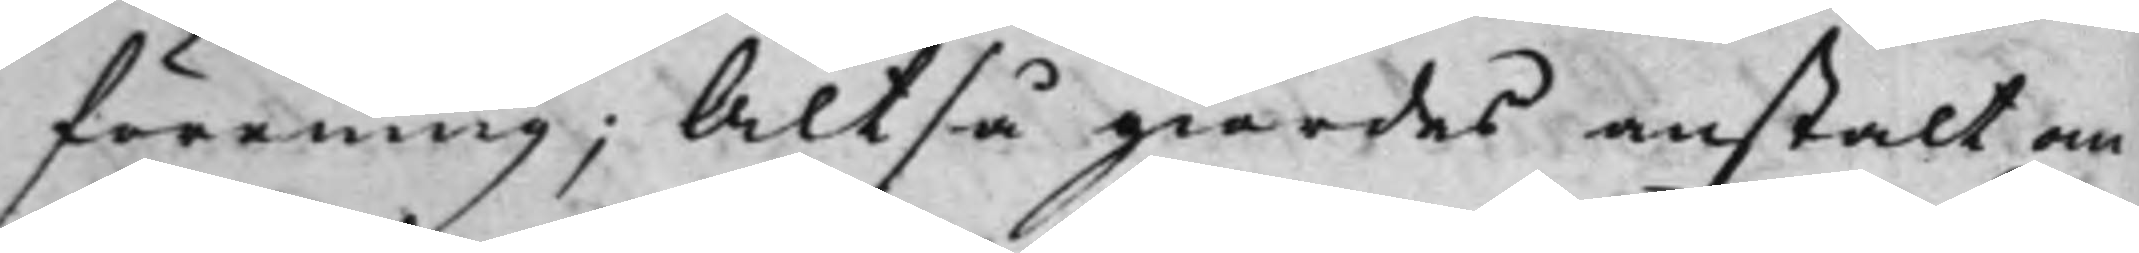förening; Altså giordes anstalt om
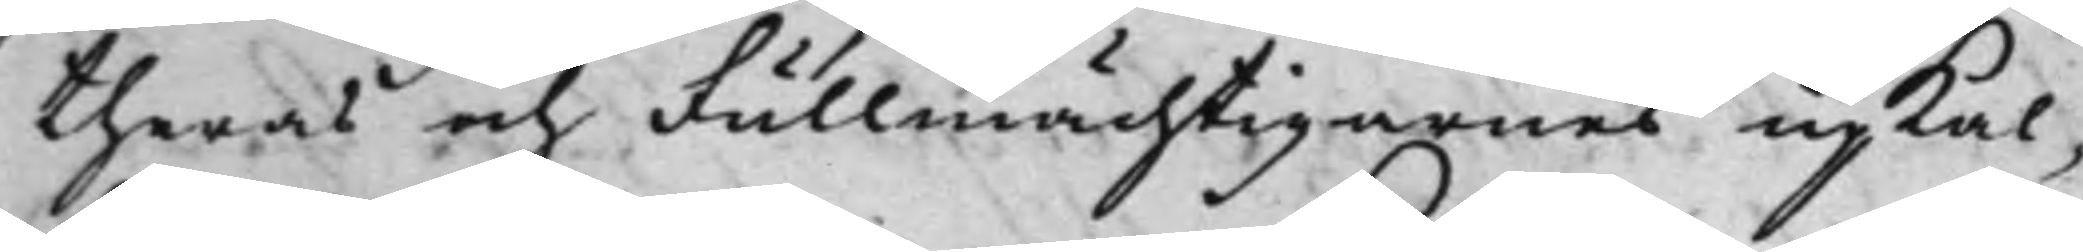theras och Fullmächtigarnes upkal¬
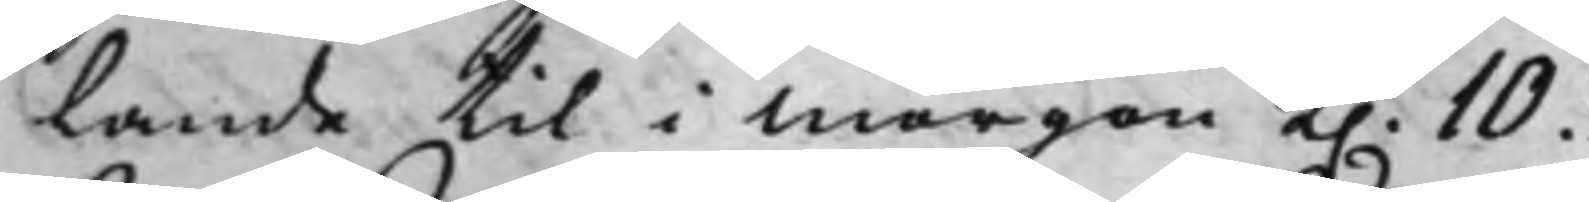lande til i morgon K. 10.
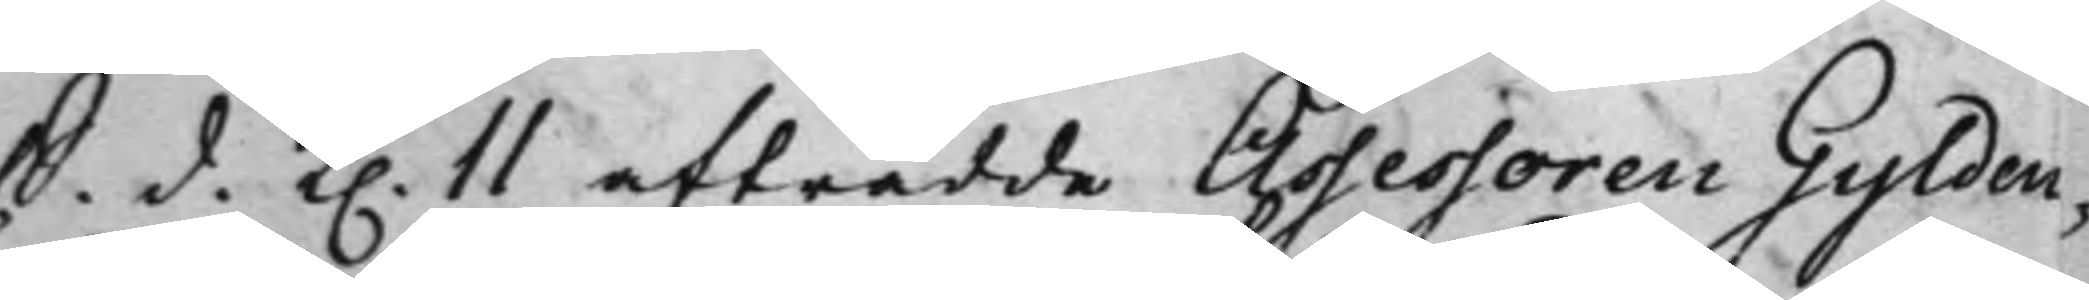S. d. K. 11 afträdde Assessoren Gylden¬
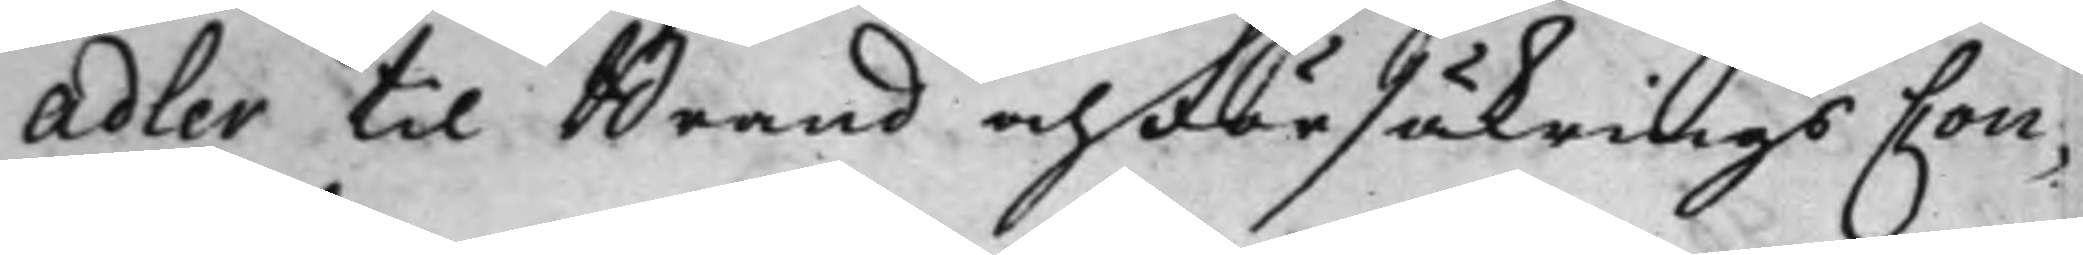adler til Brand och FörsäkringsCon¬
